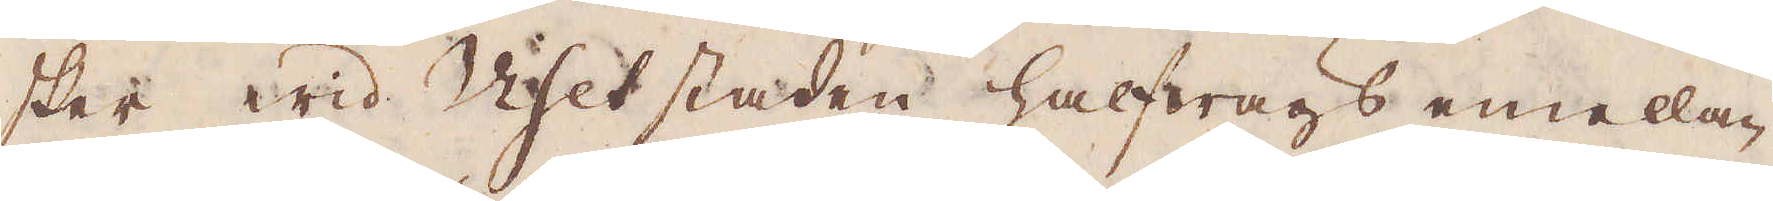sker wid Viset staden halfwägs emellan
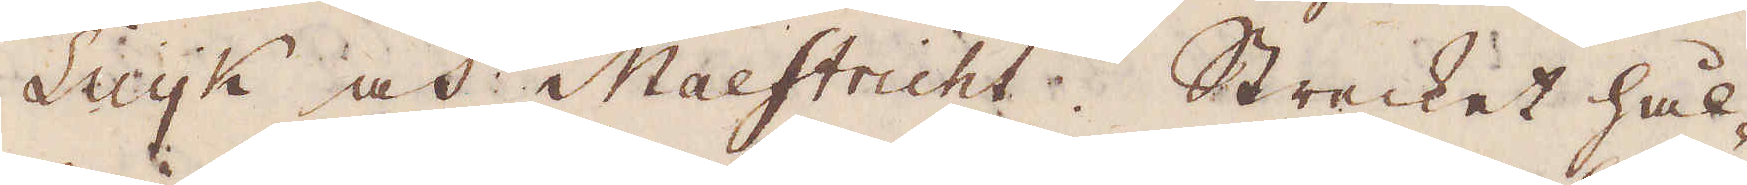Luyk och Mastricht. Strecket hål-
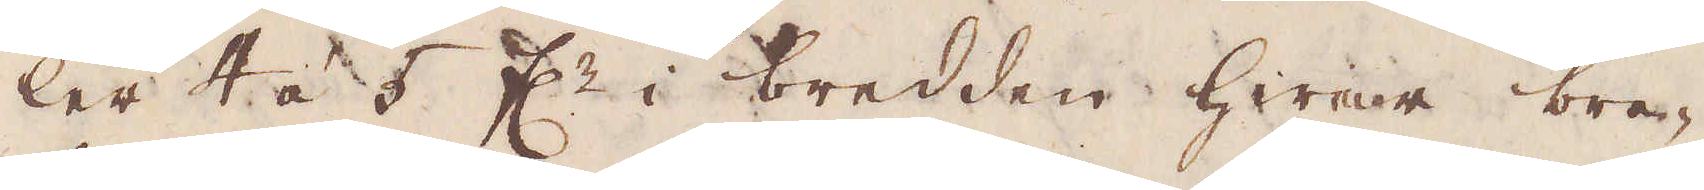ler 4 á 5 f:r i bredden hwar bre-
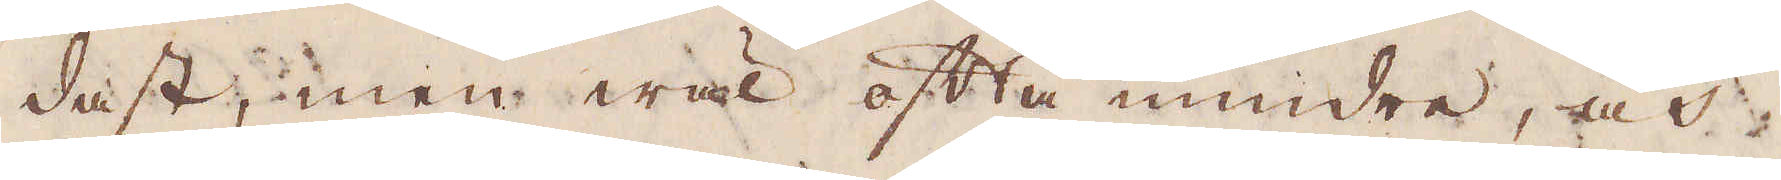dast; men wäl ofta mindre, och
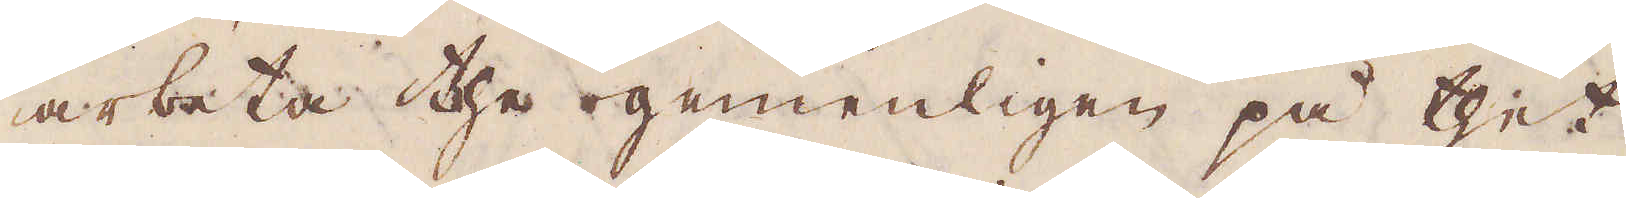arbeta the gemenligen på thet
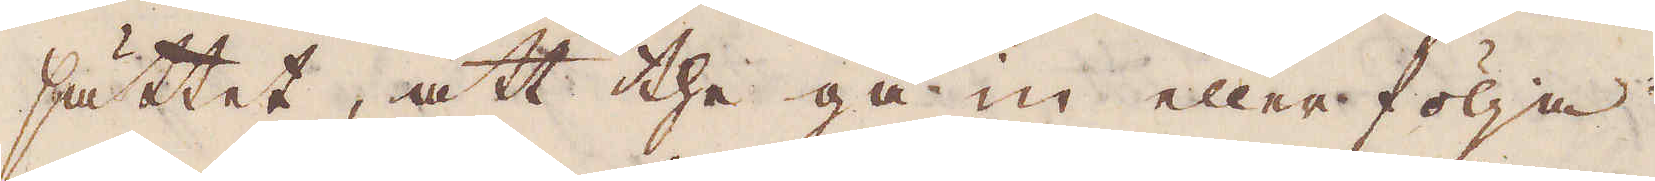sättet, att the gå in eller följa
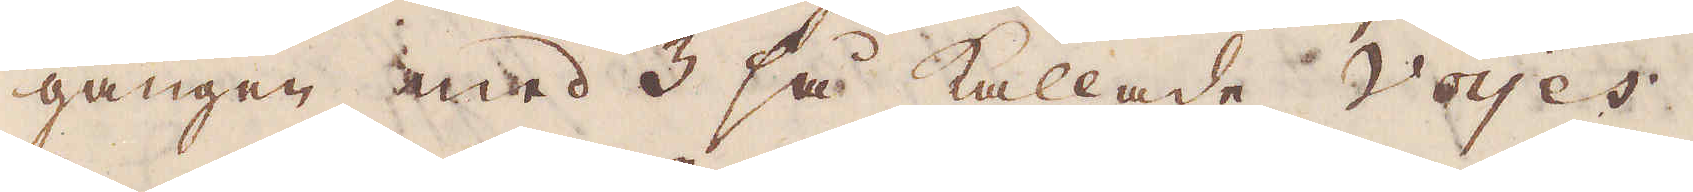gången med 3 så kallade Voyes
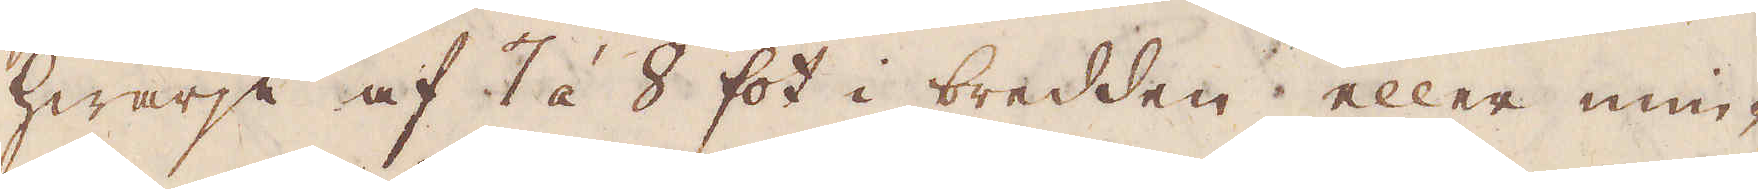hwarje af 7 á 8 fot i bredden eller min-
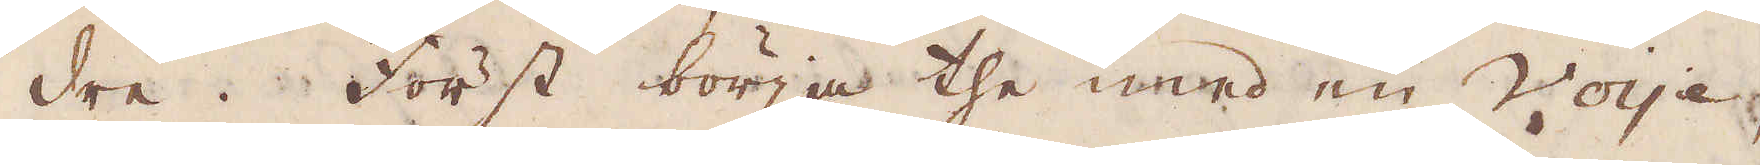dre. Först börja the med en Voye,
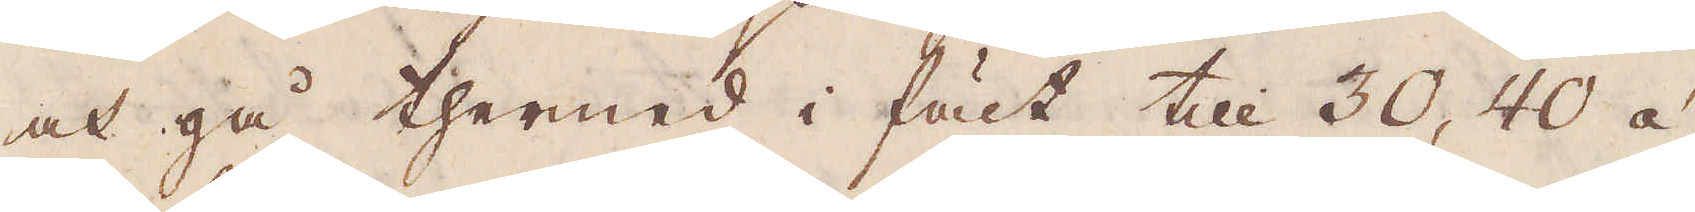och gå thermed i fält till 30, 40 á
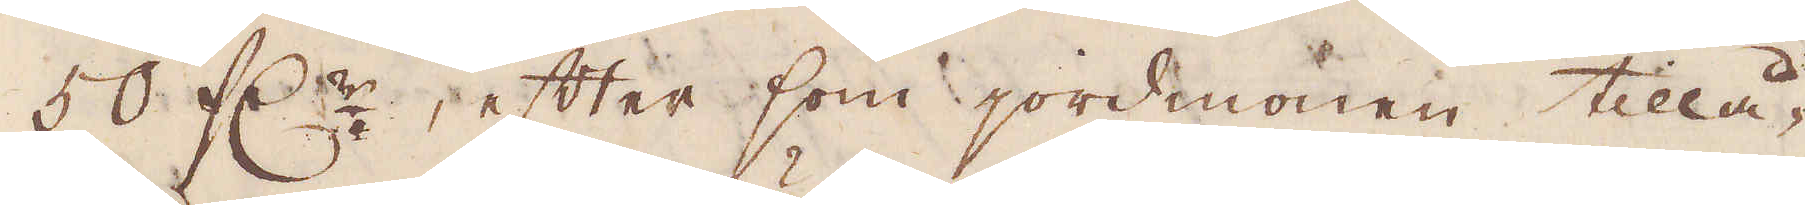50 f:r, efter som jordmonen tillå-
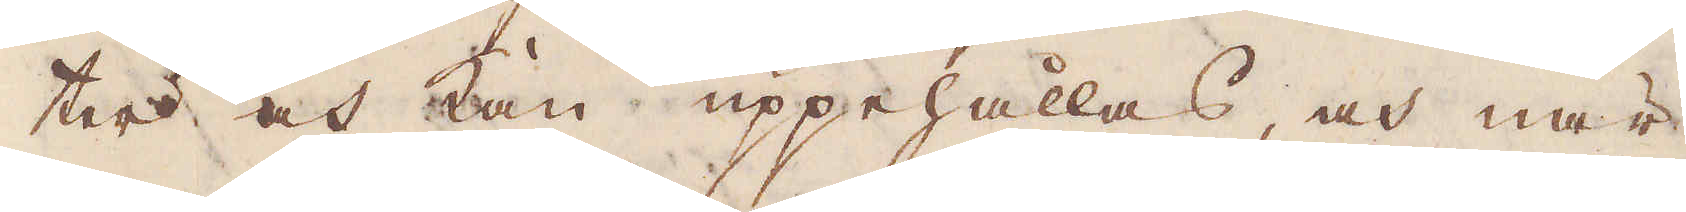ter och kan uppehållas, och när
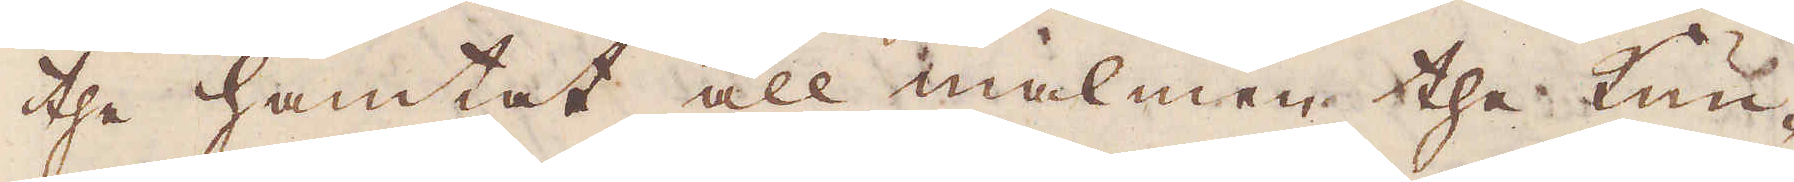the hämtat all malmen the kun-
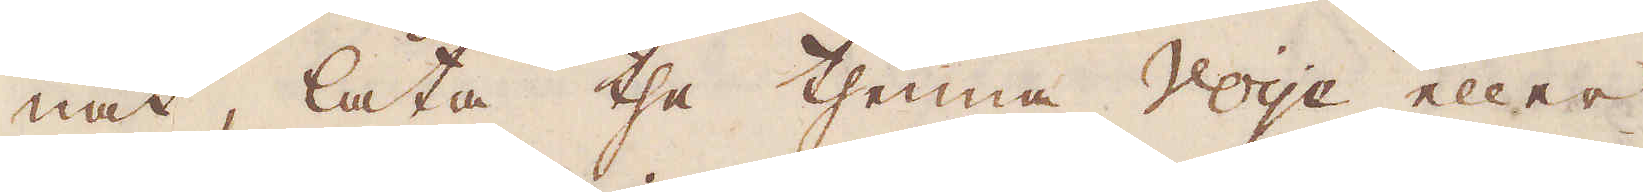nat, låta the thenna Voye eller
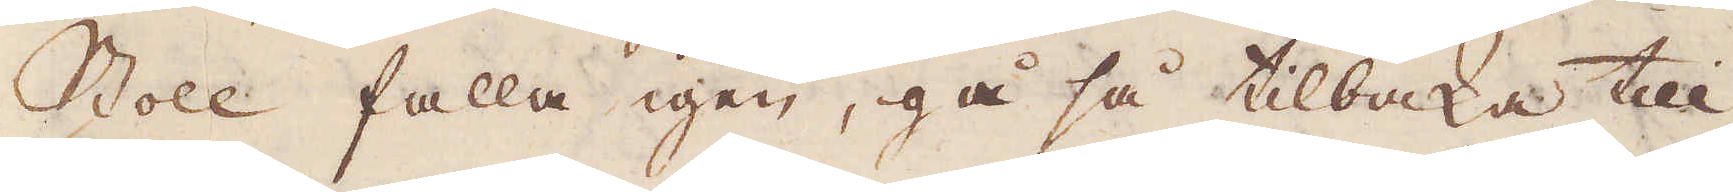Stoll falla igen, gå så tilbaka till
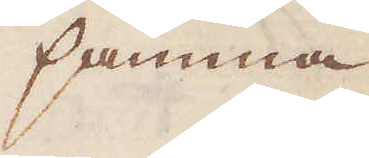samma
